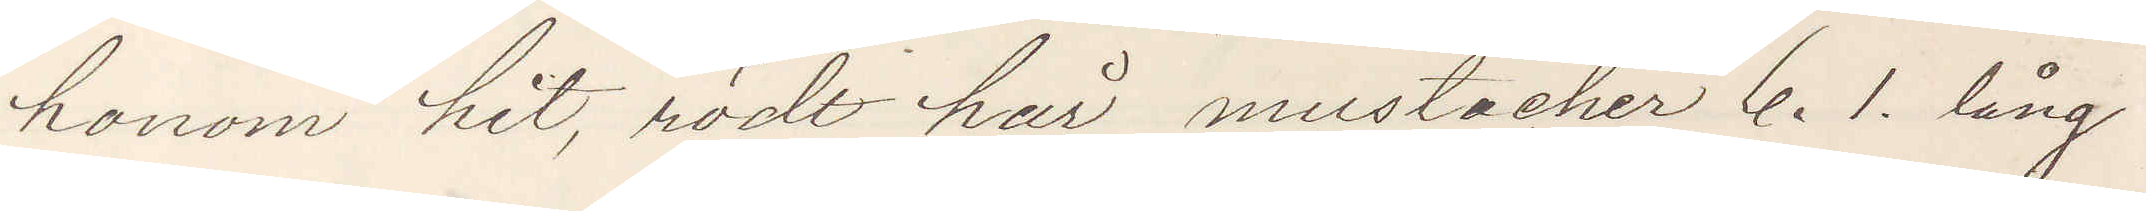honom hit, rödt hår mustacher 6. 1. lång
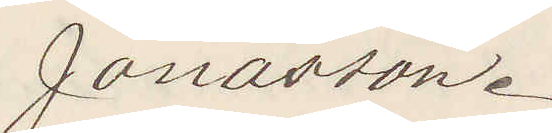Jonasson.
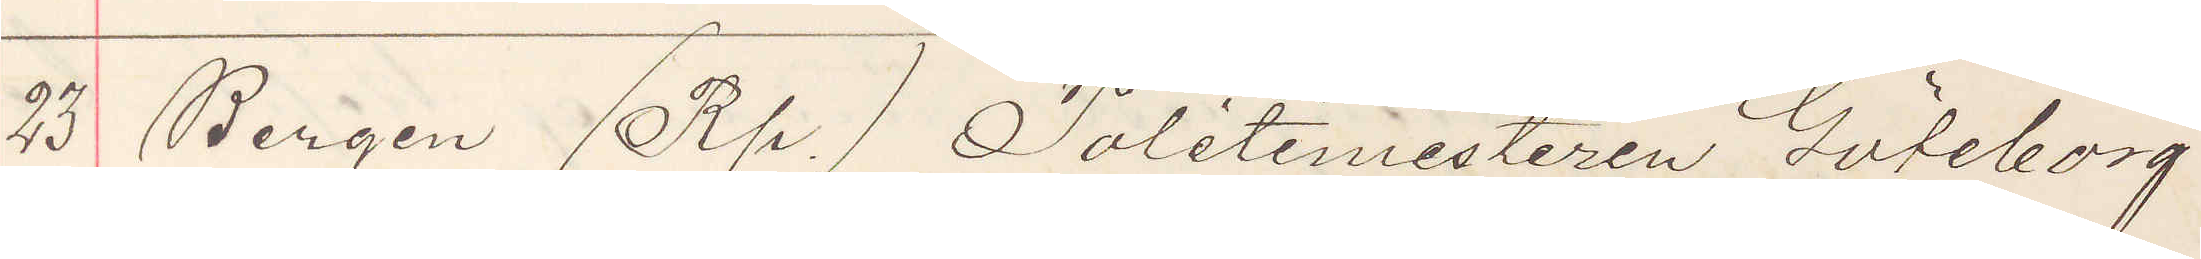23 Bergen (Rp) Politimestaren Göteborg
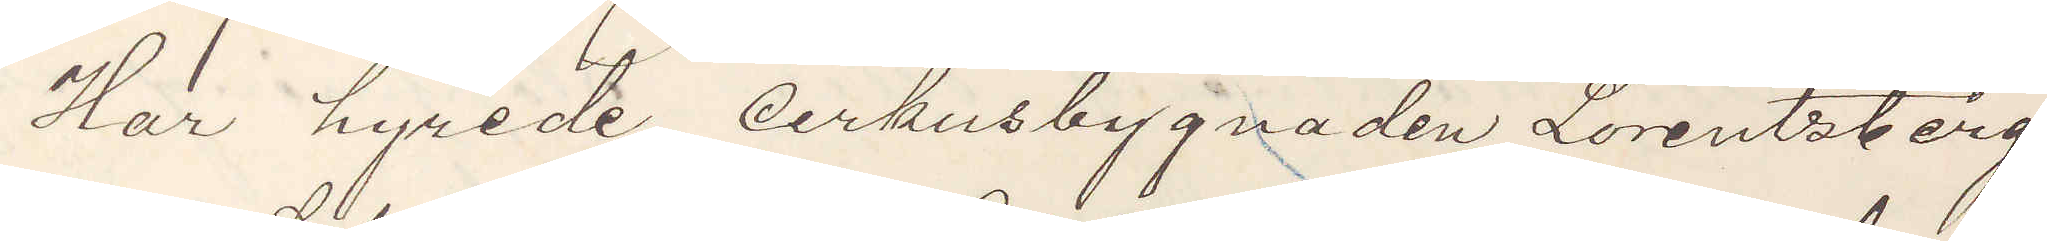Har hyrede cirkusbygnaden Lorentzberg
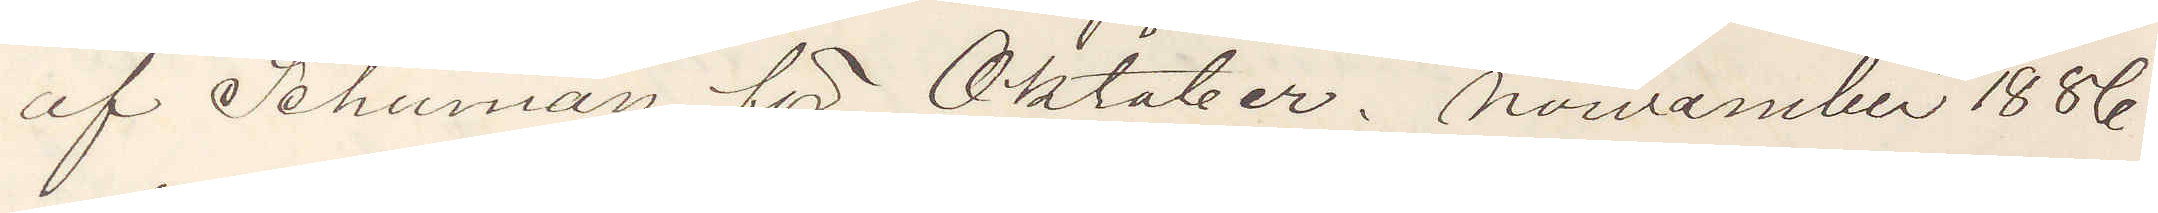af Schuman för Oktober. November 1886
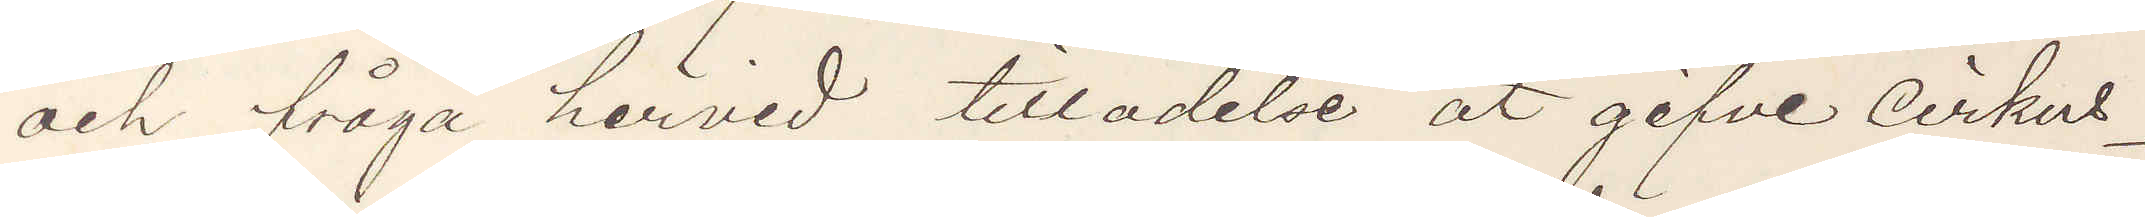och fråga härvid tilladelse at gifve cirkus¬
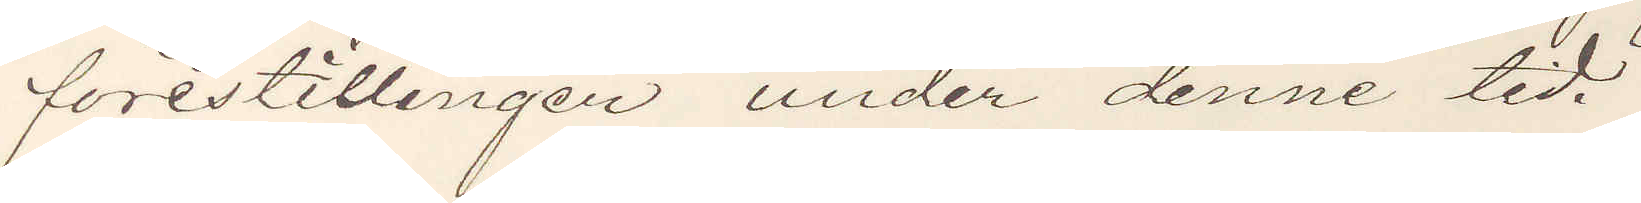förestillingen under denne tid.
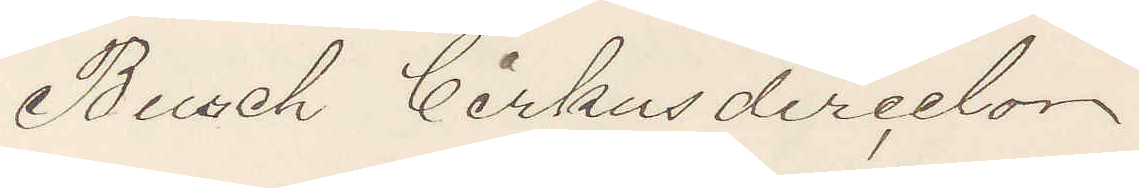Busch Cirkusdirector
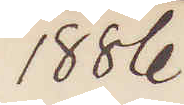1886
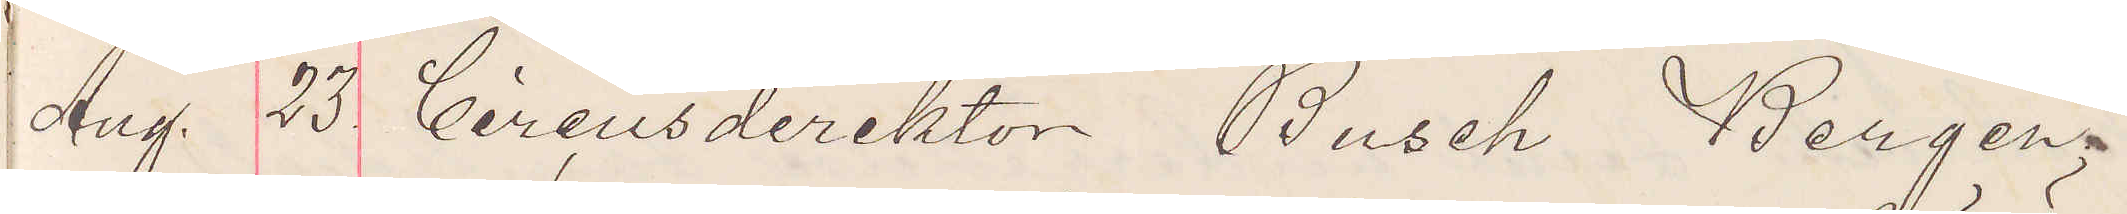Aug. 23. Circusdirektor Busch Bergen.
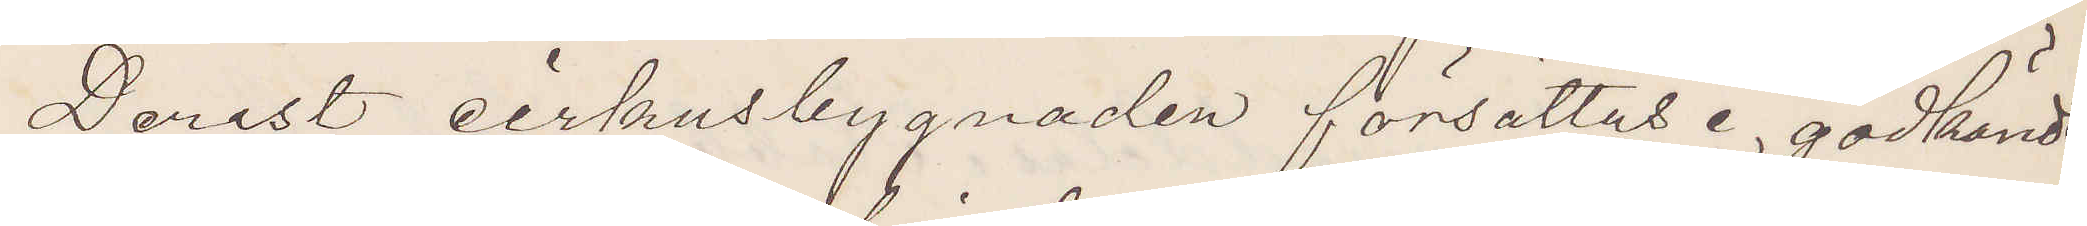Derest cirkusbygnaden försättas i godkändt
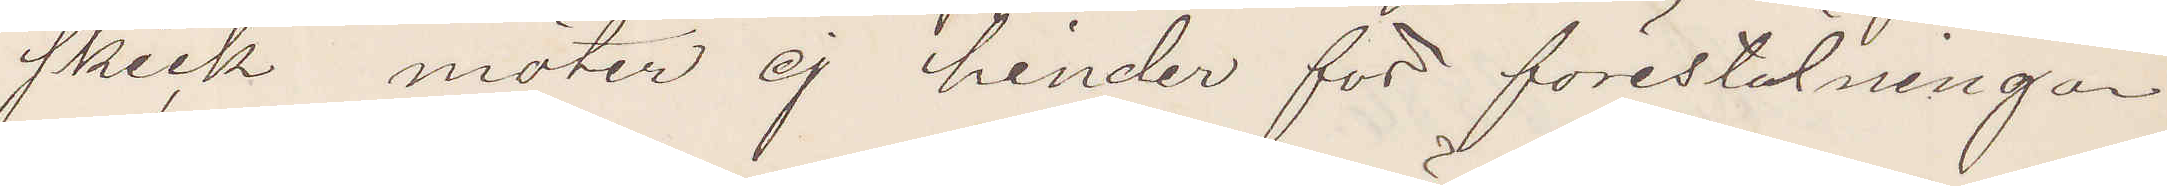skick möter ej hinder för förestälningar.
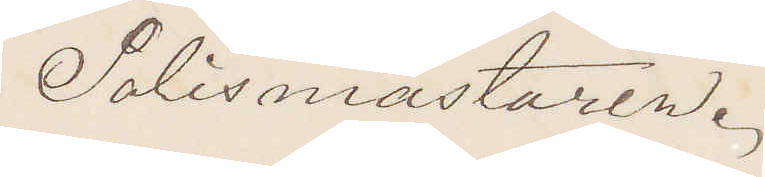Polismästaren.
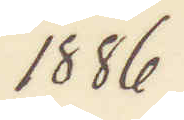1886
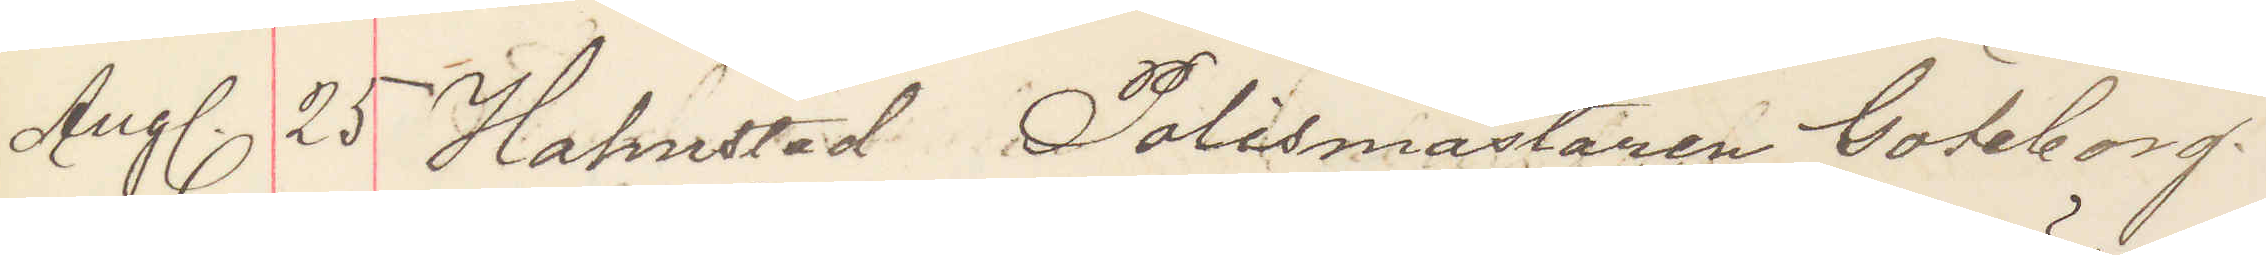Aug. 25 Halmstad Polismästaren Göteborg.
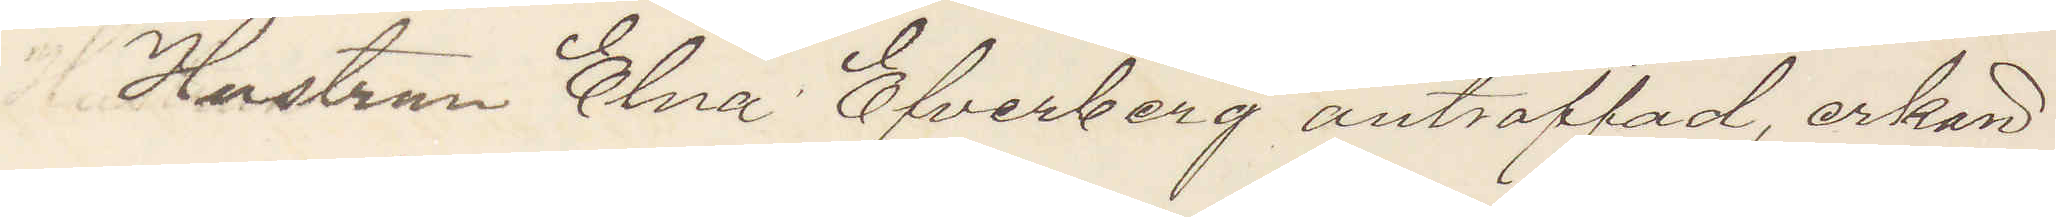Hustrun Elna Efverberg anträffad, erkän¬
